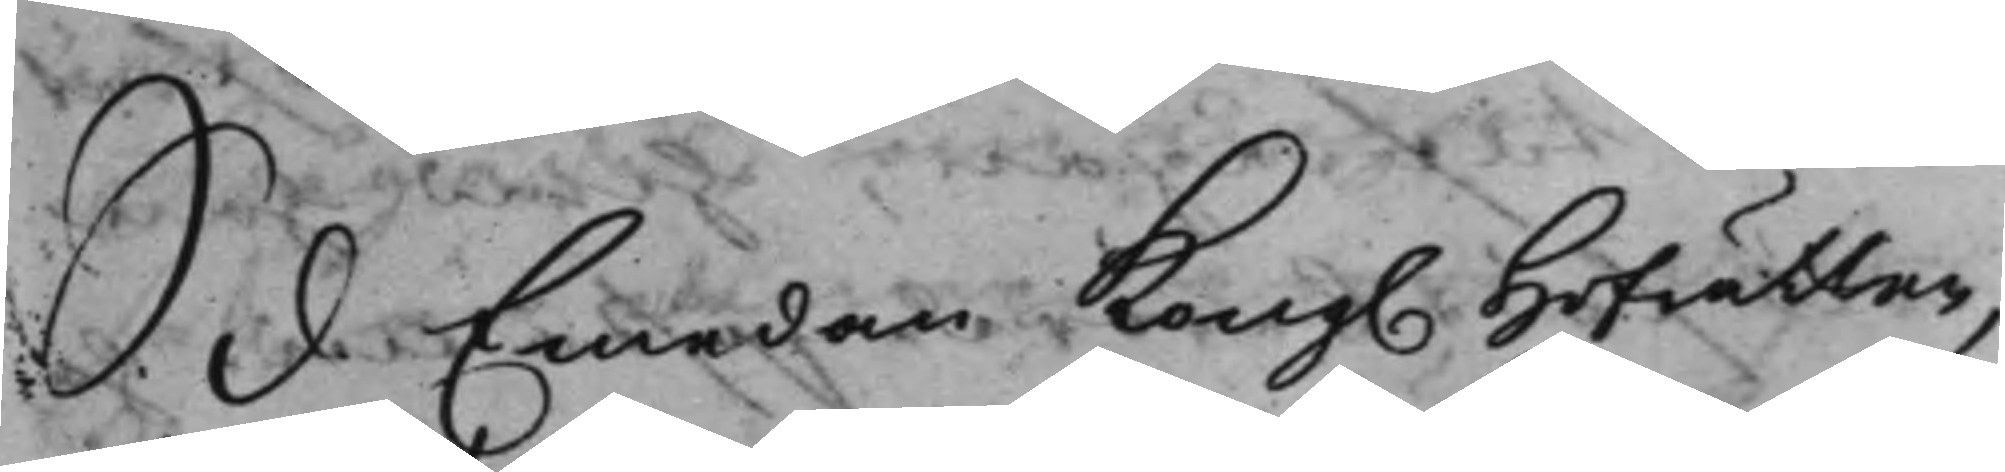S. d. Emedan Kong. Hofrätten
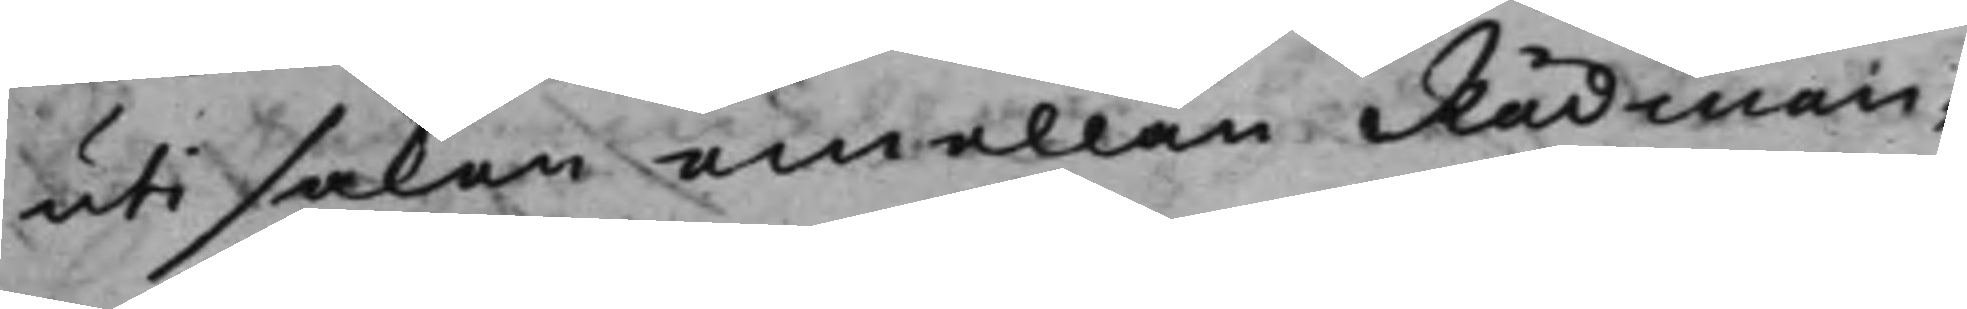uti saken emellan Rådman¬
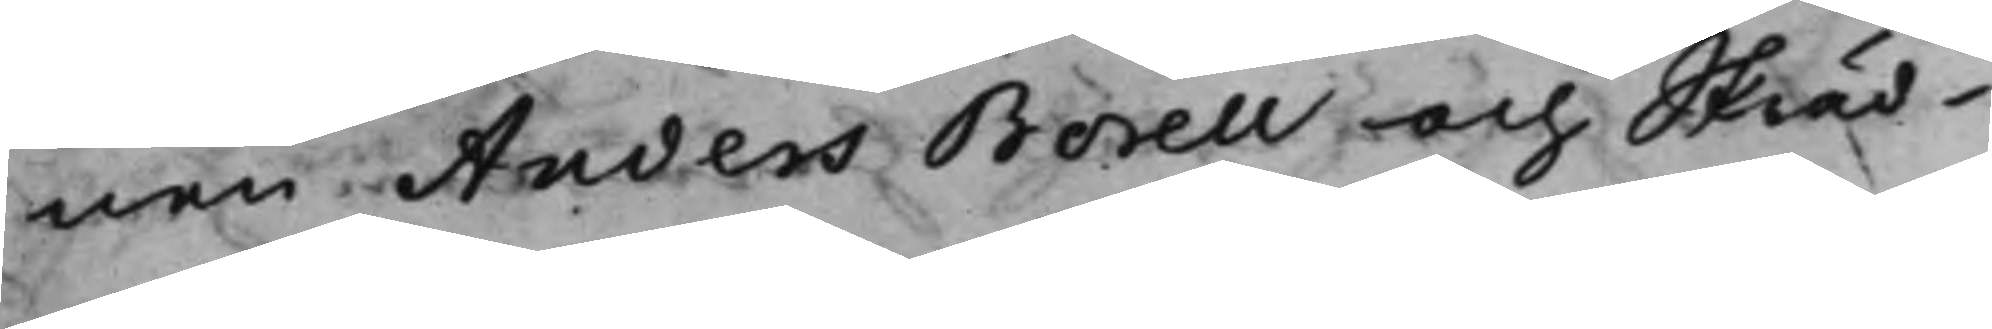nen Anders Borell och Skräd¬
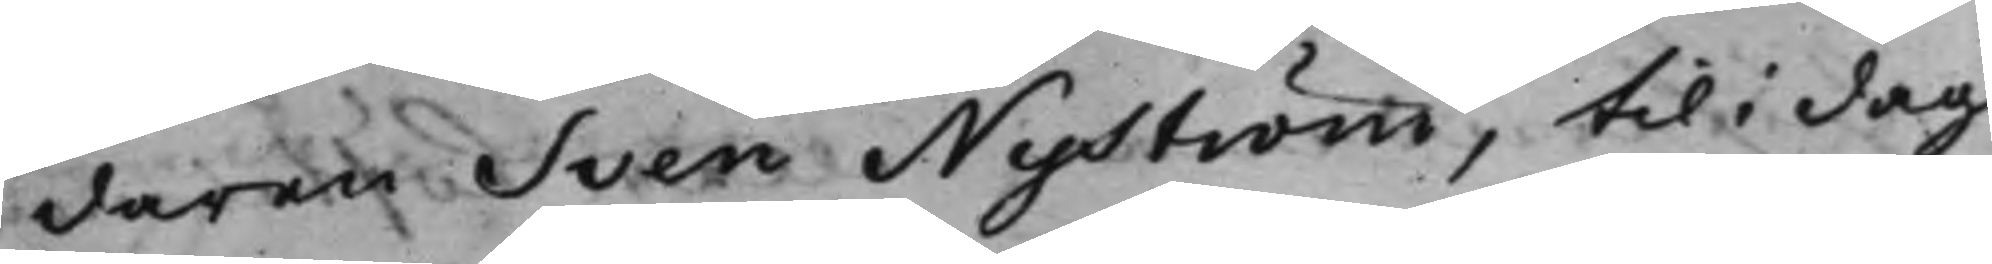daren Sven Nyström, til i dag
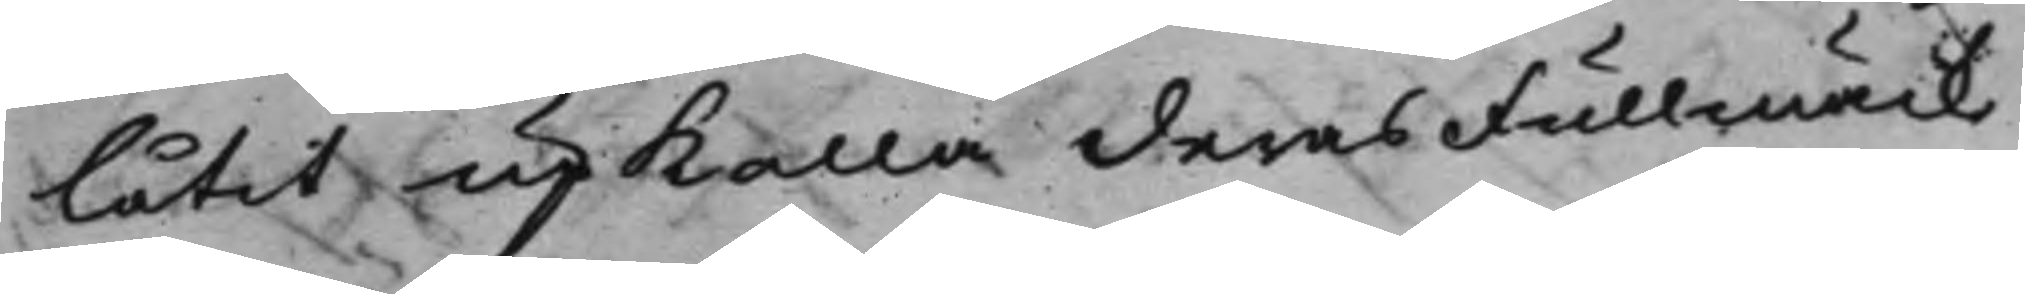låtit upkalla deras Fullmäck¬
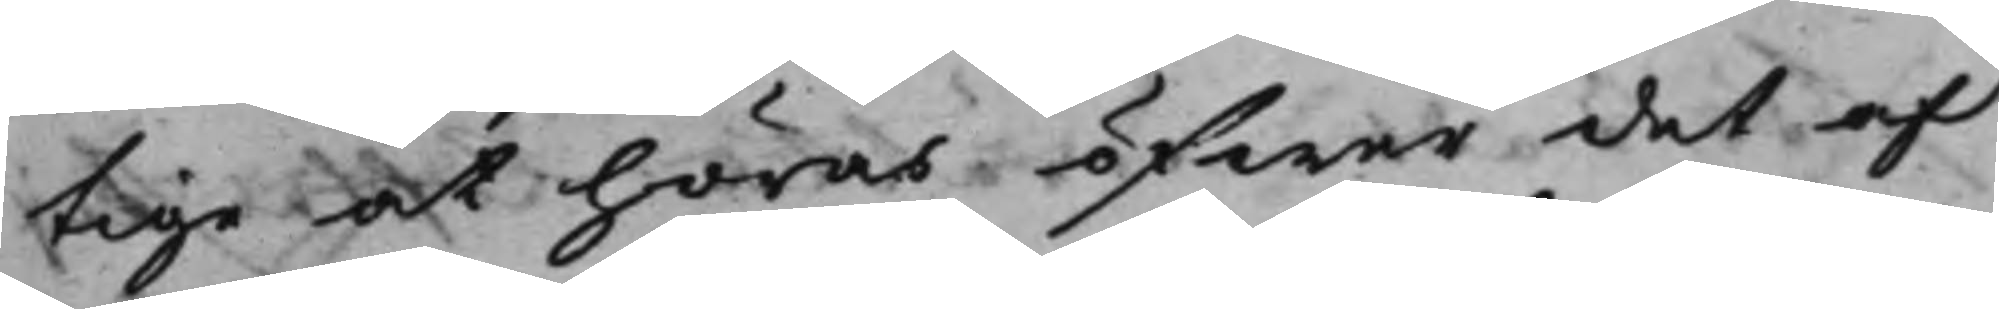tige at höras öfwer det af
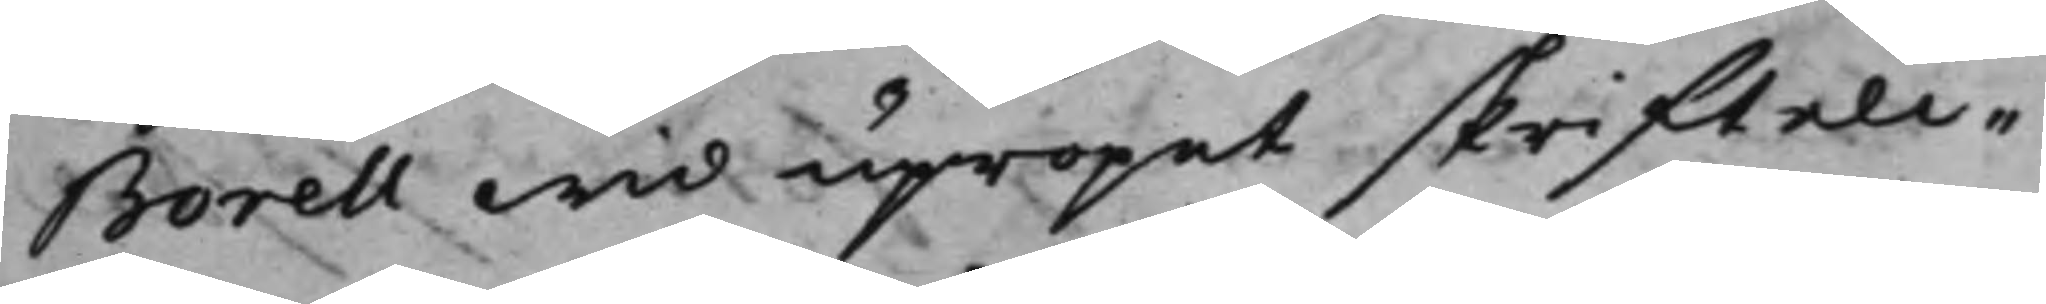Borell wid upropet skrifteli¬
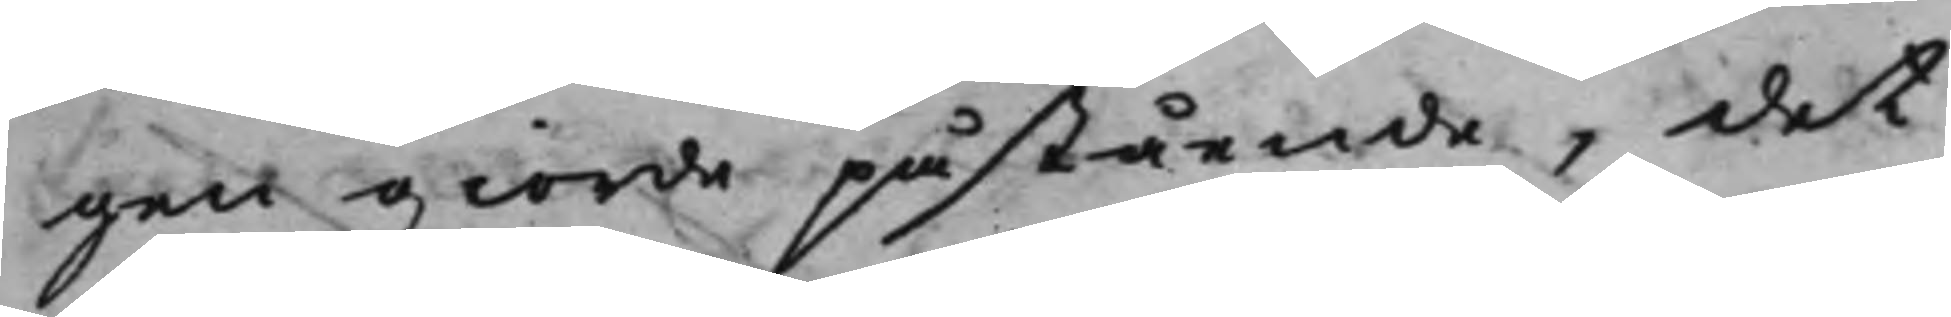gen giorde påstående, det
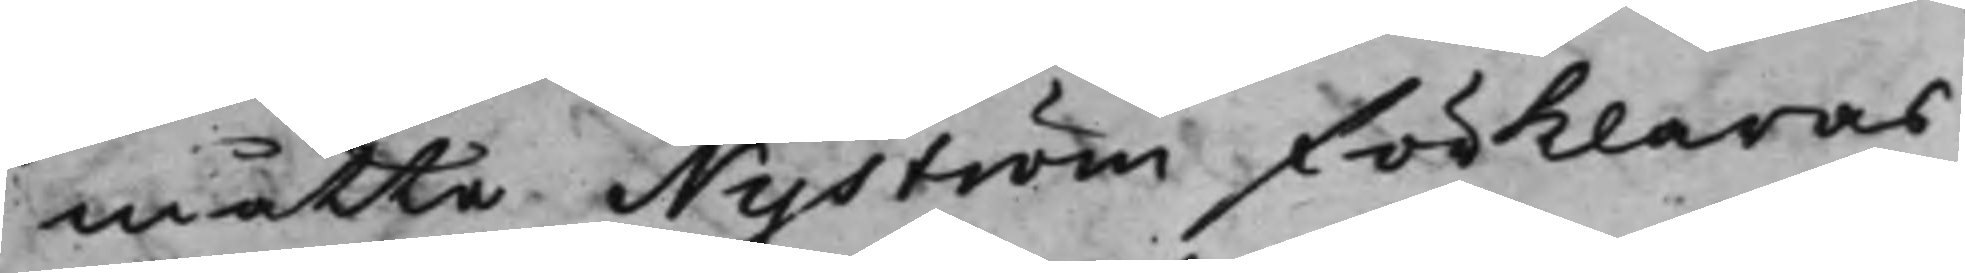måtte. Nyström förklaras
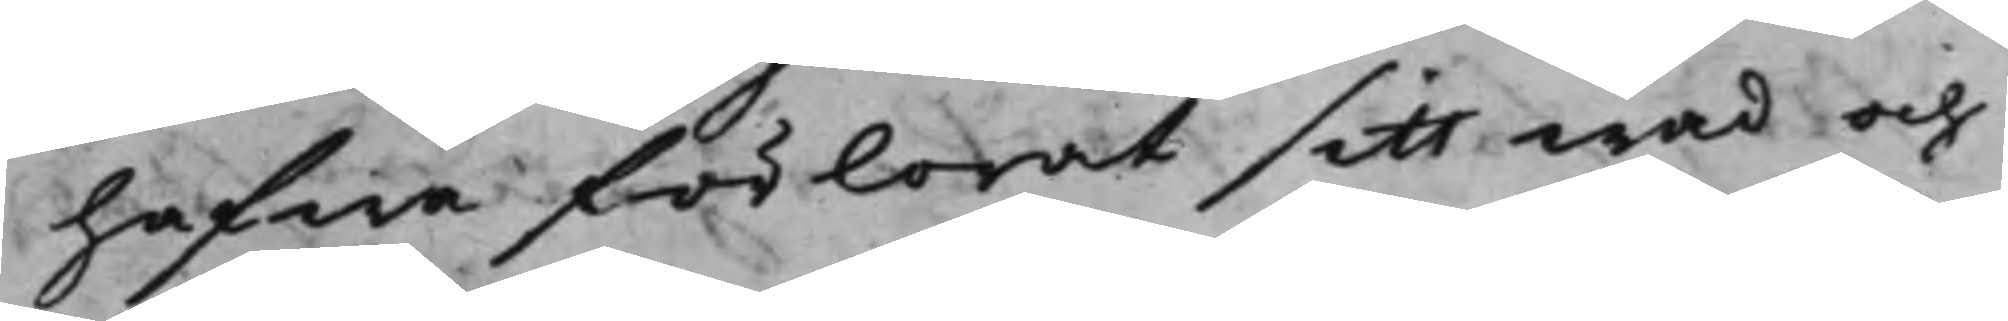hafwa förlorat sitt wad och
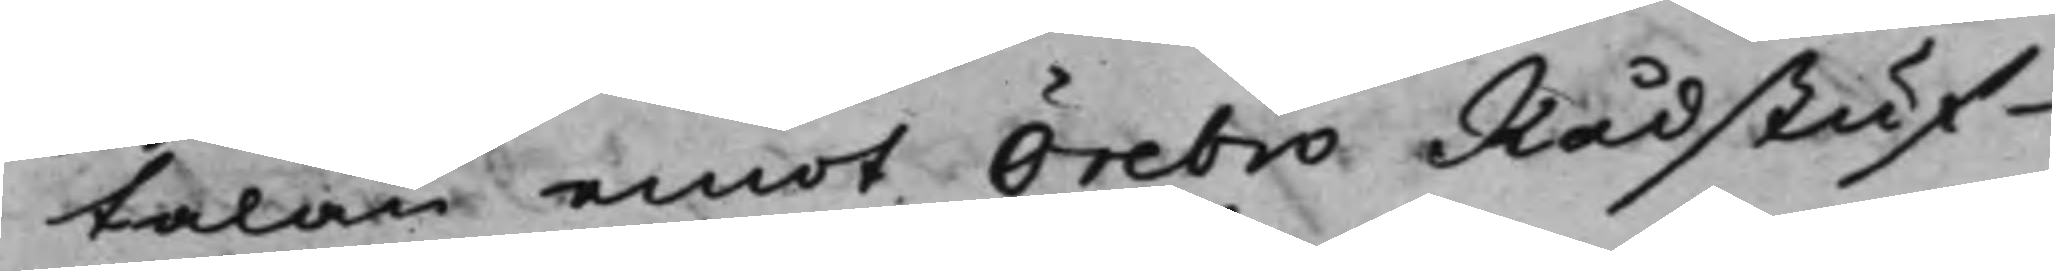talan emot Örebro Rådstuf¬
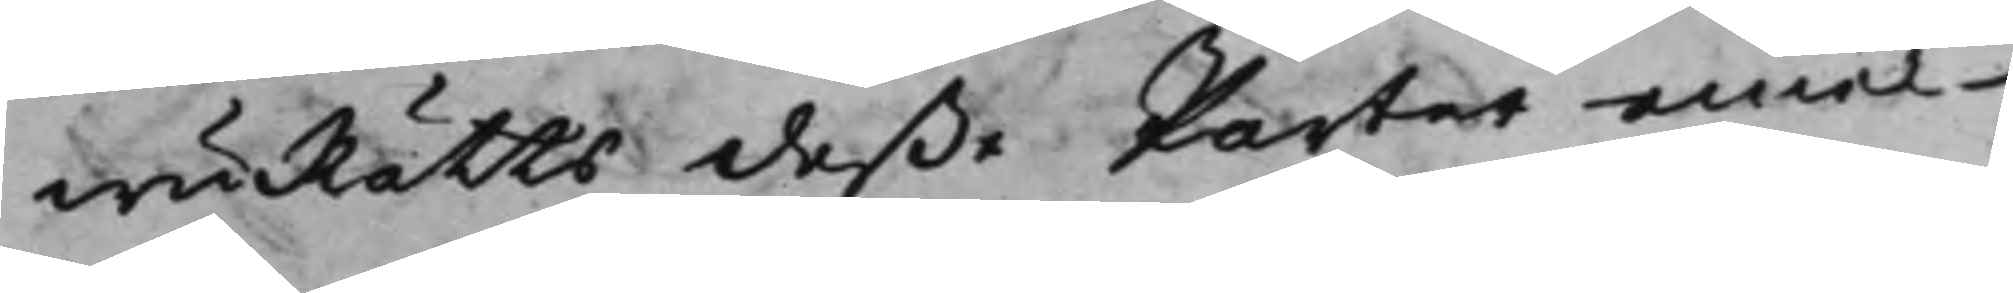wuRätts deße Parter emel¬
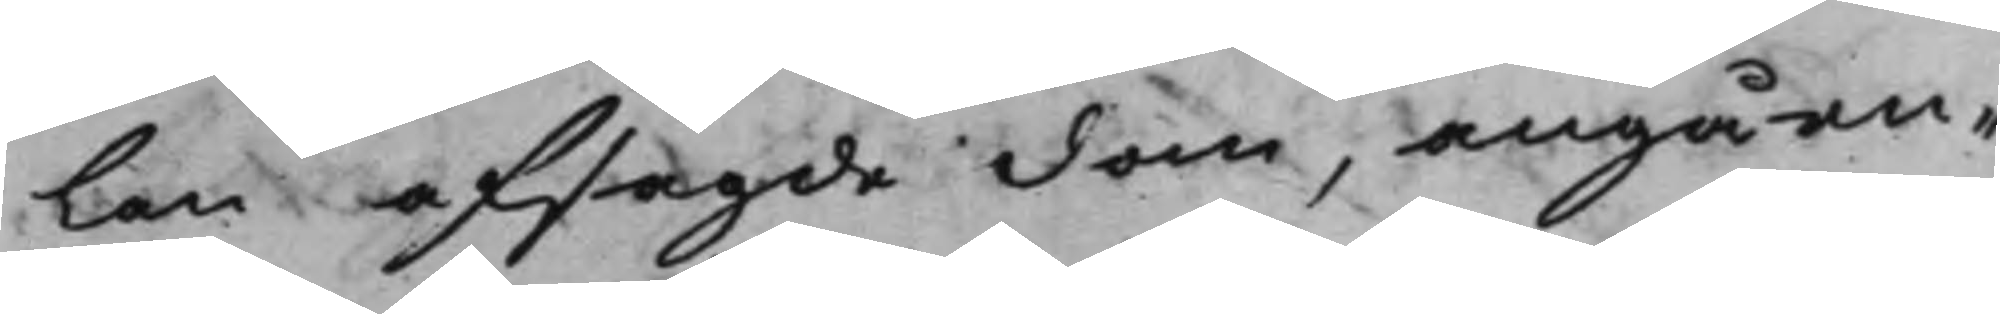lan afsagde dom, angåen¬
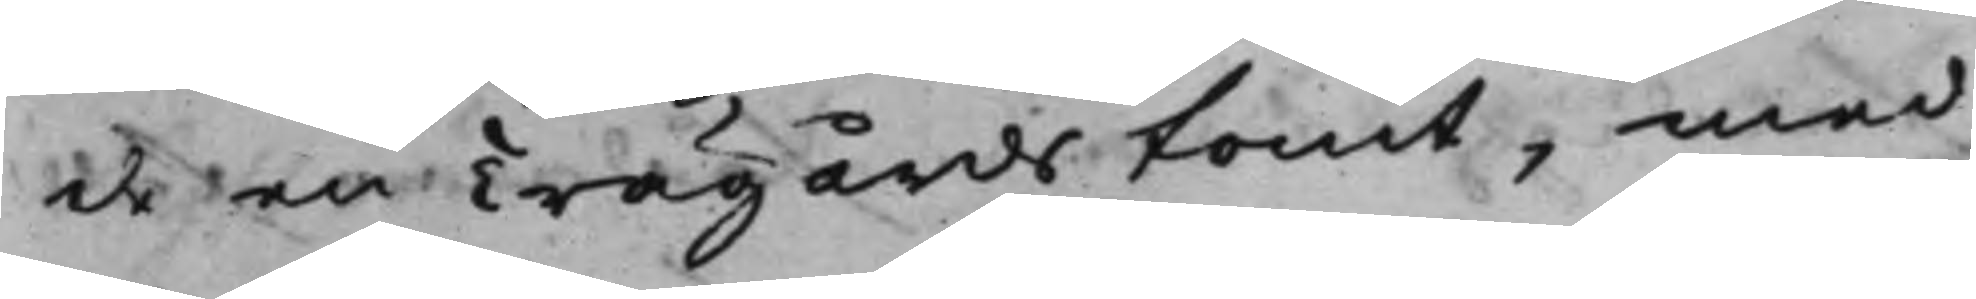de en Trägårdstomt, med
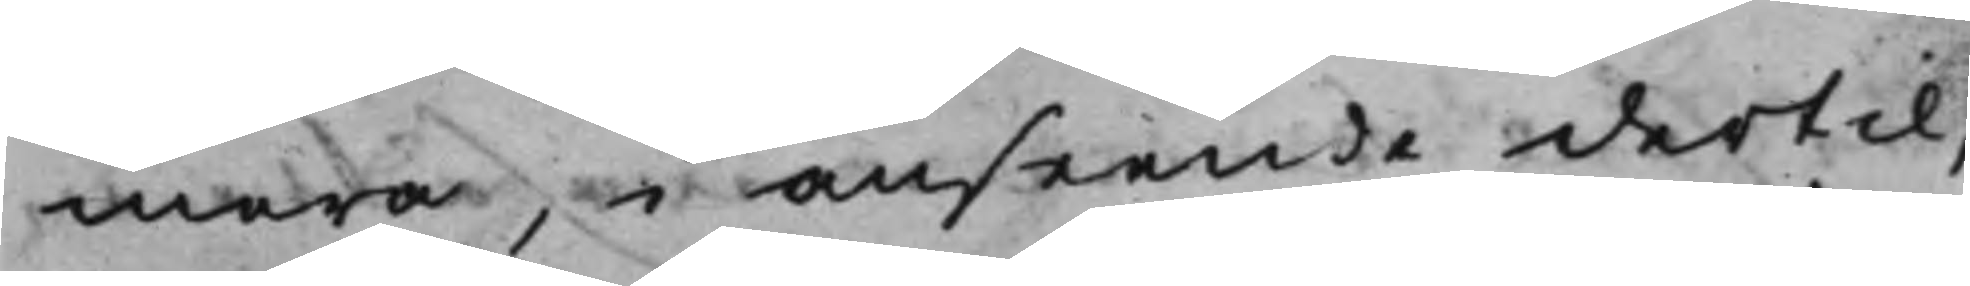mera, i anseende dertil,
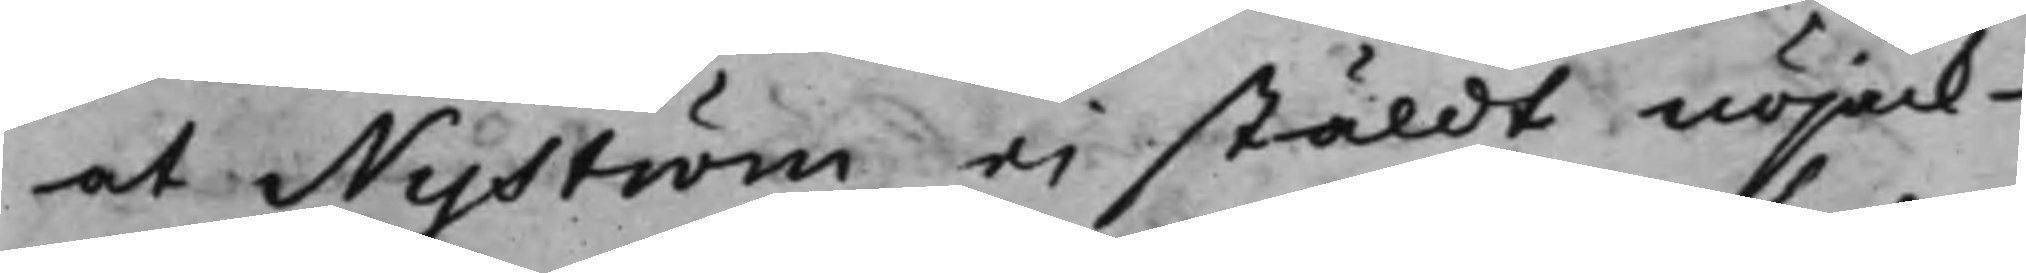at Nyström ej stäldt nöjack¬
